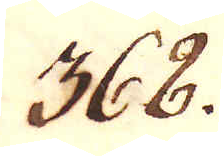368.
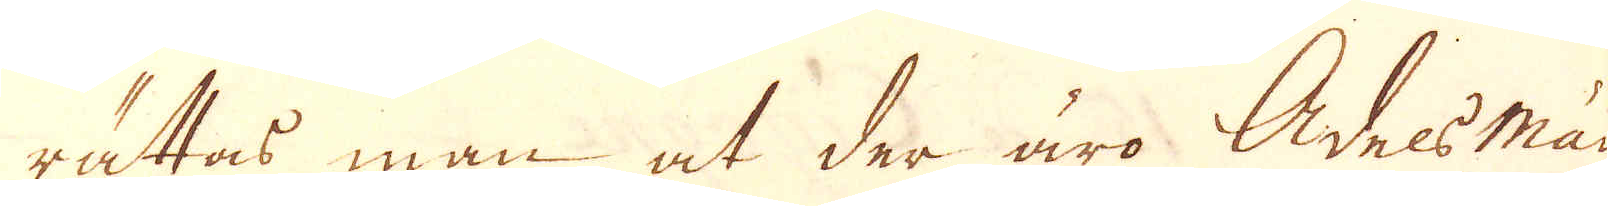rättas man at der äro Adelsmän
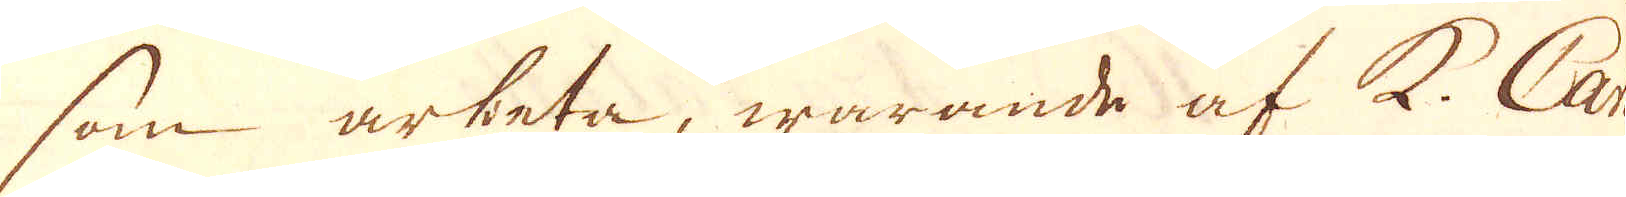som arbeta, warande af K. Carl
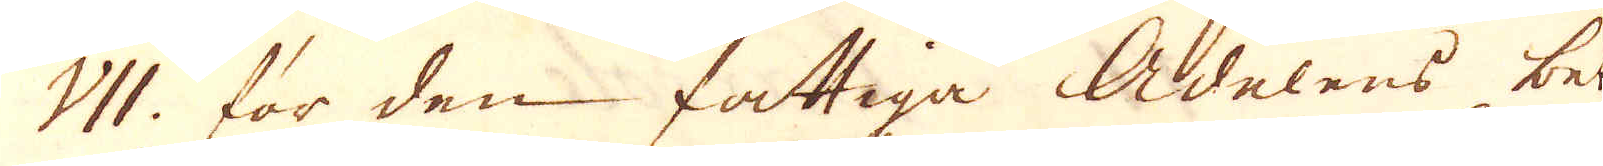VII. för den fattiga Adelens be-
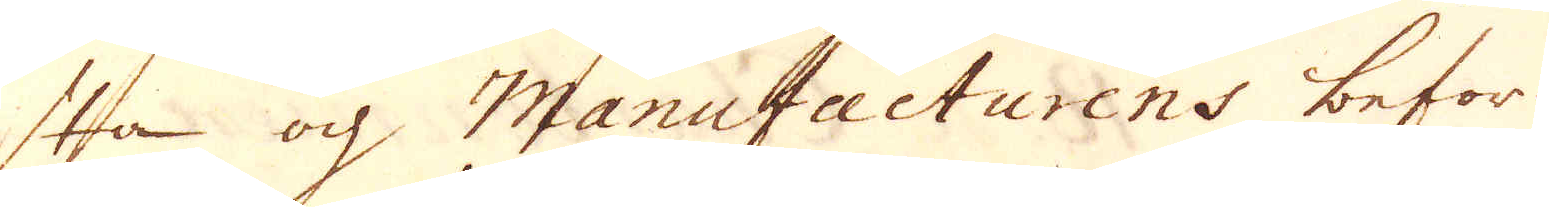sta och Manufacturens befor-
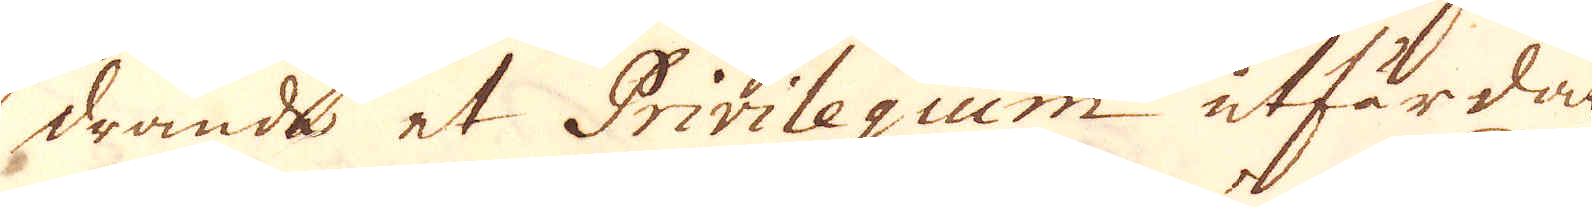drande et Privilegium utfärdat
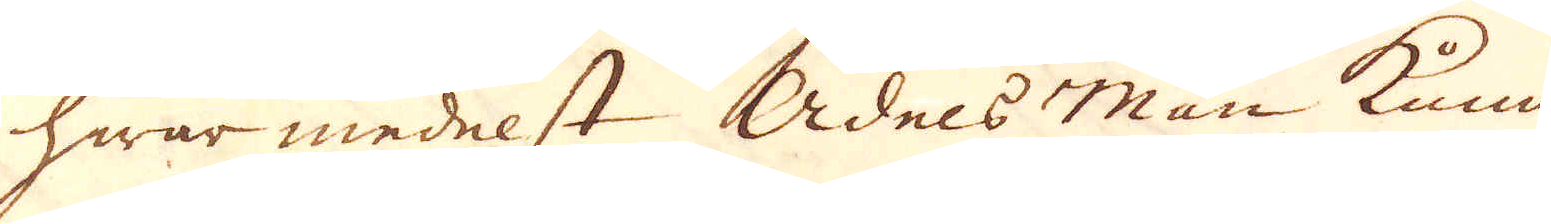hwar medelst Adels-Män kunna
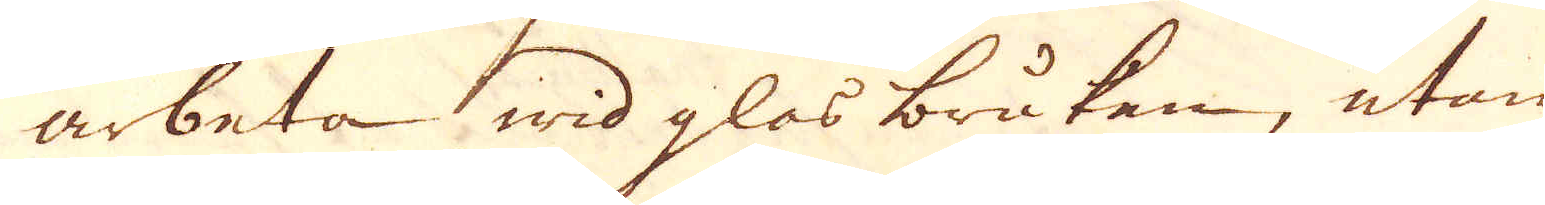arbeta wid glas bruken, utan
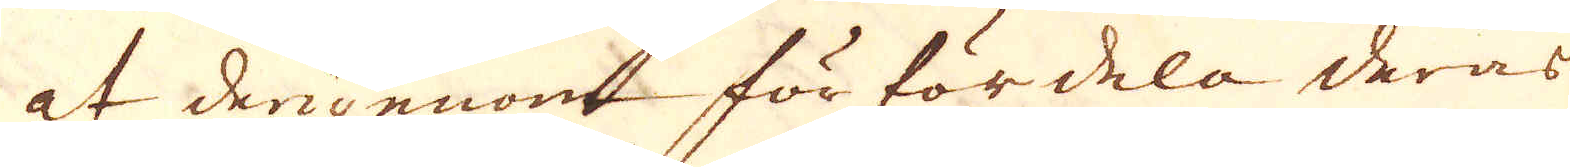at derigenom förfördela deras
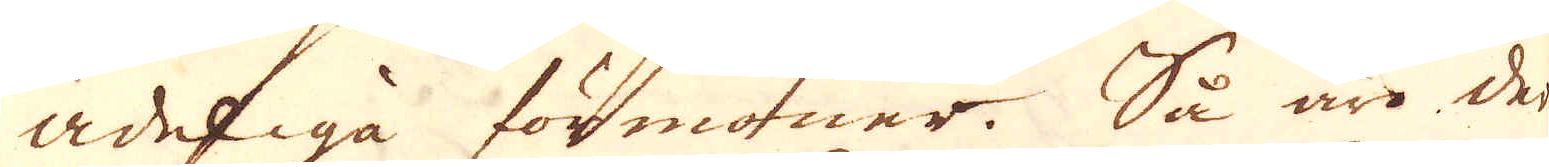adeliga förmoner. Så ärmo der
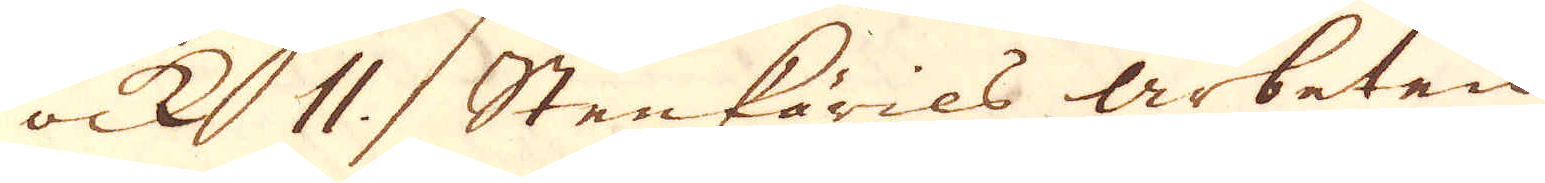ock 11 Stenkärils arbeten
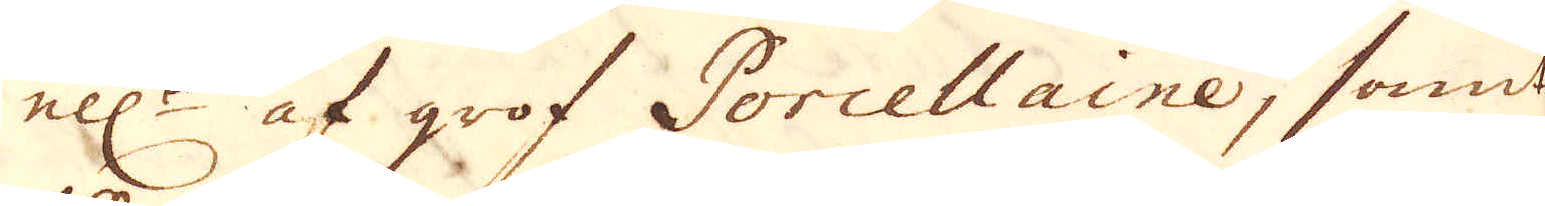ell:r af grof Porcellaine, samt
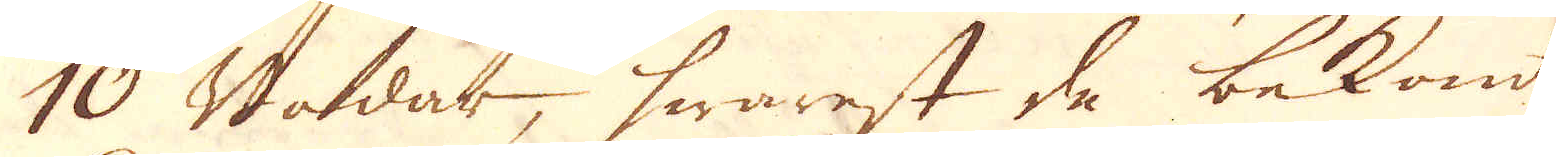10 Nedar, hwarest de bekante
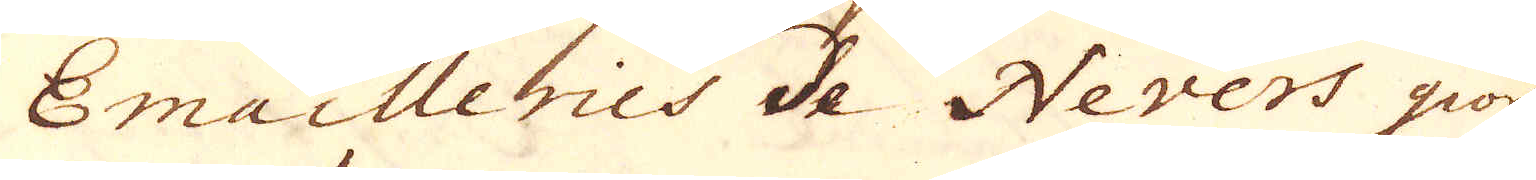Emailleries de Nevers giöra.
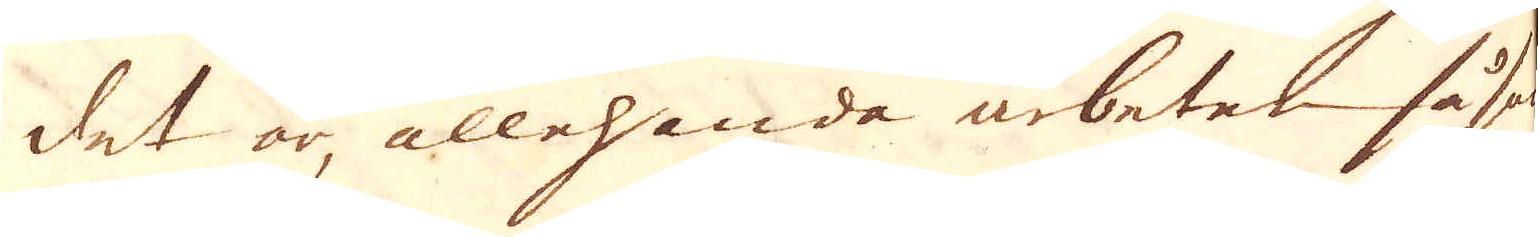Det är, allehanda arbeten såsom
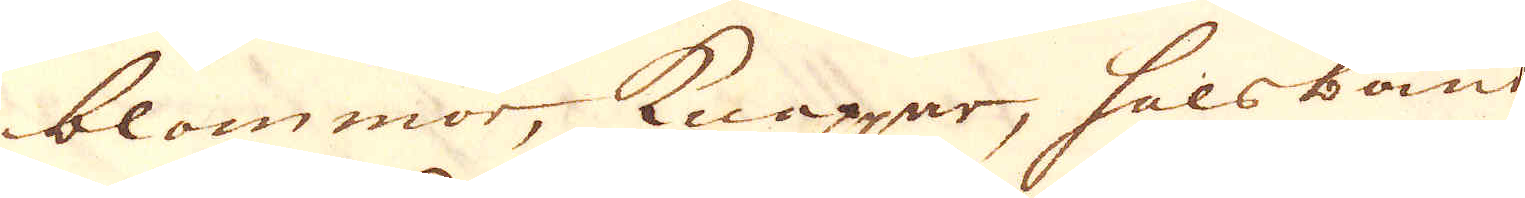blommor, knappar, halsband
